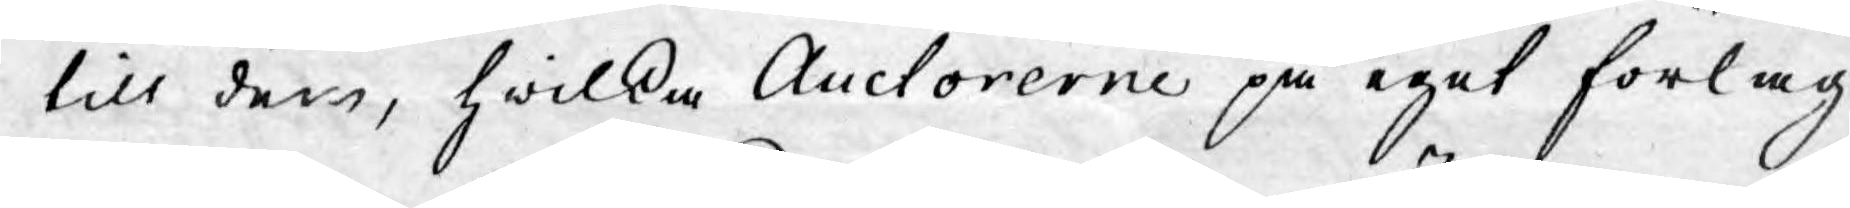till dem, hwilka Auctorerne på eget förlag
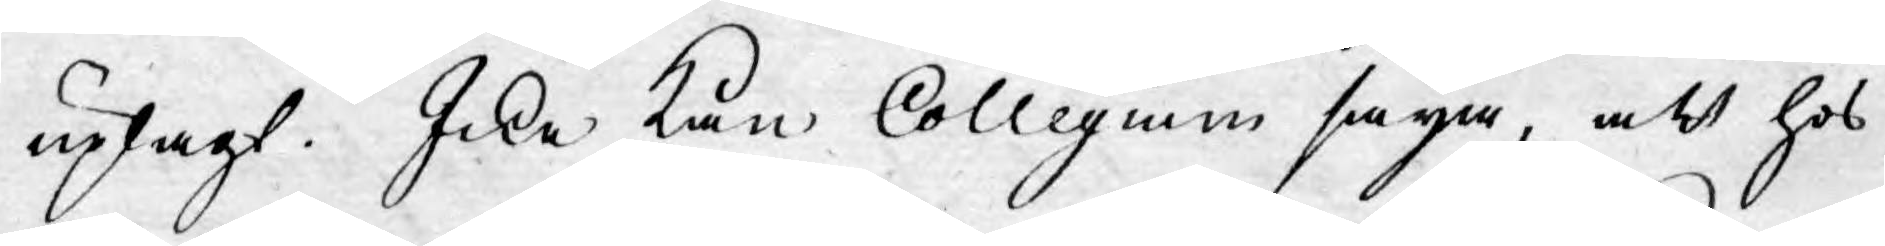uplagt. Icke kan Collegium säija, att hos
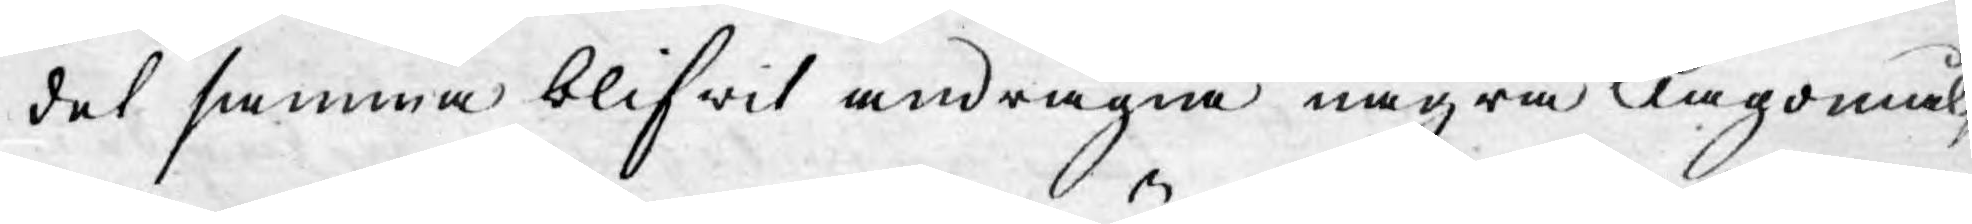det samma blifwit andragna några klagomål,
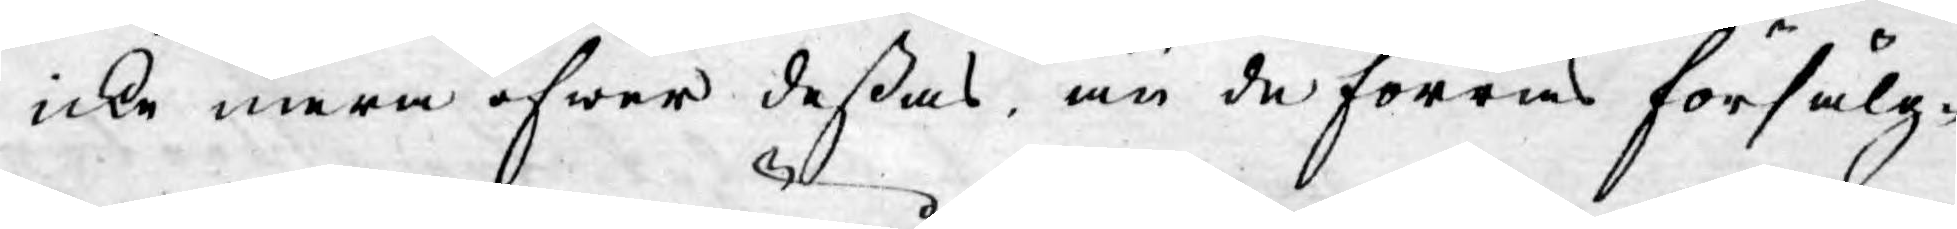icke mera öfwer deßas, än de förras försälg¬
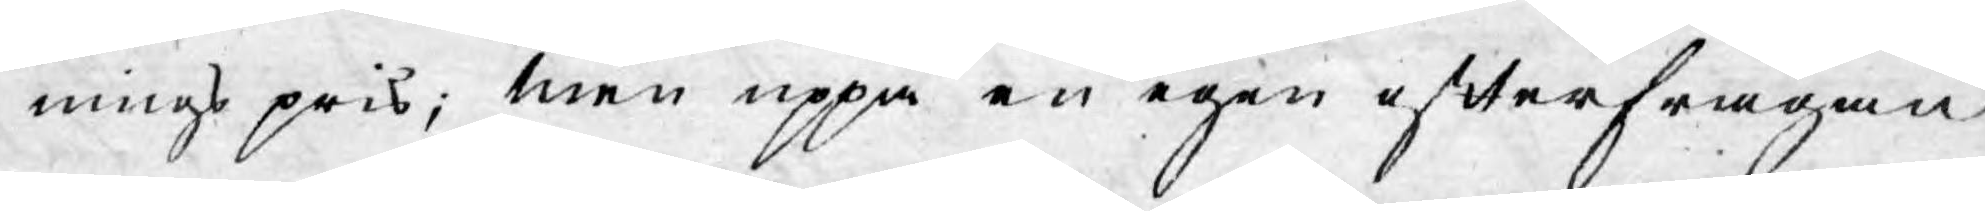ningspris; men uppå en egen efterfrågan
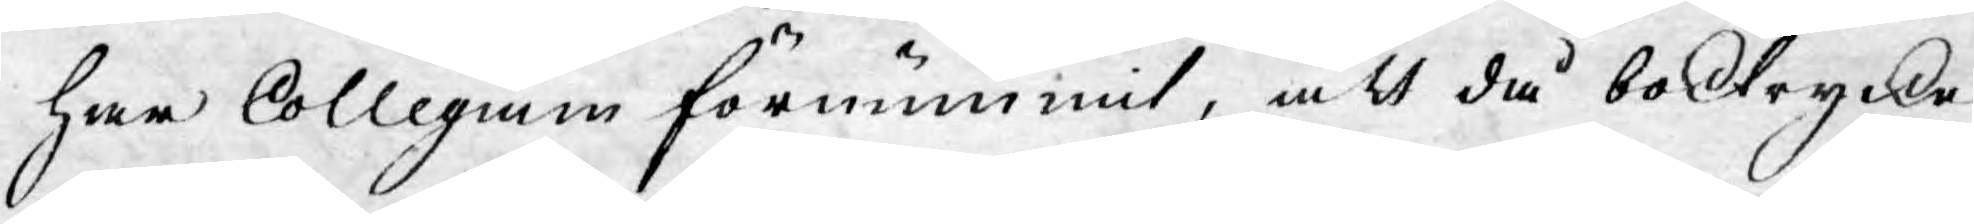har Collegium förnummit, att då boktrycke¬
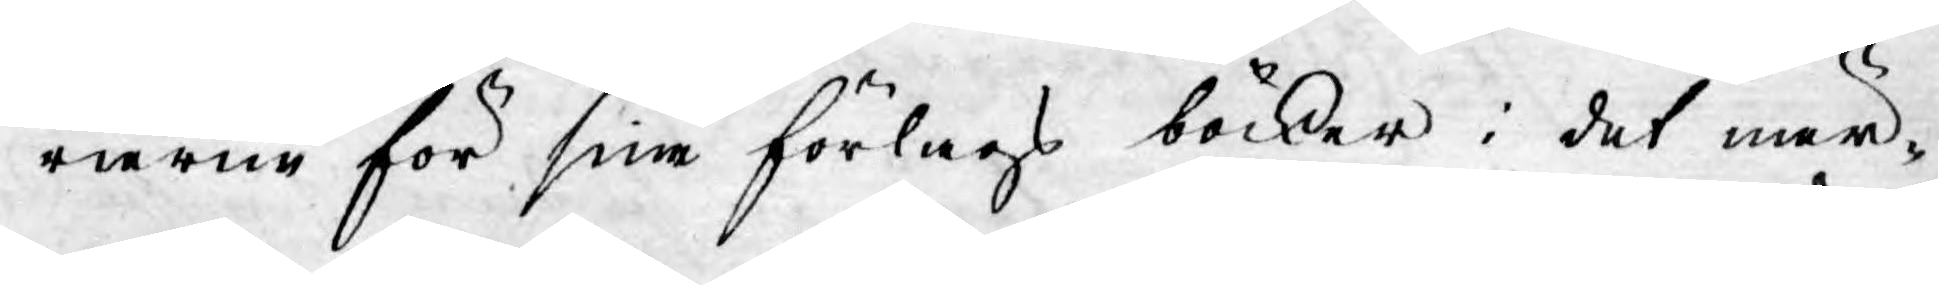rierne för sina förlags böcker i det när¬
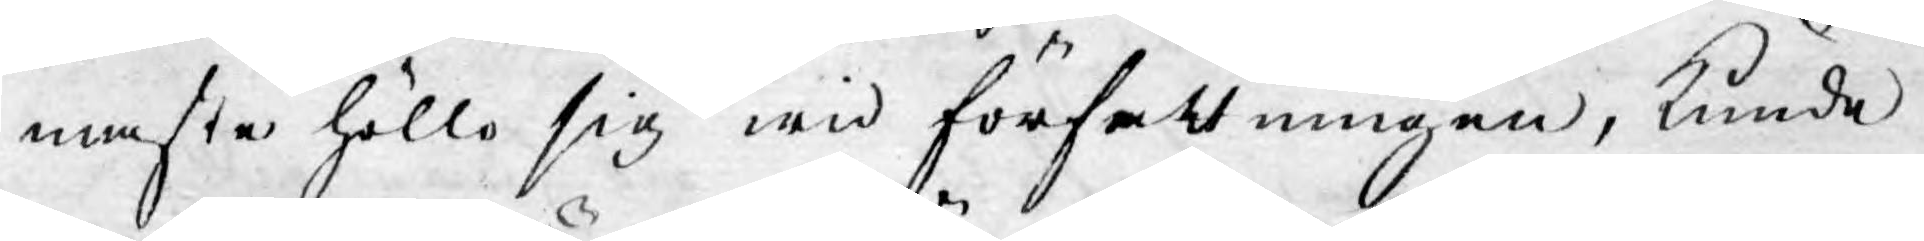maste höllo sig wid författningen, kunde
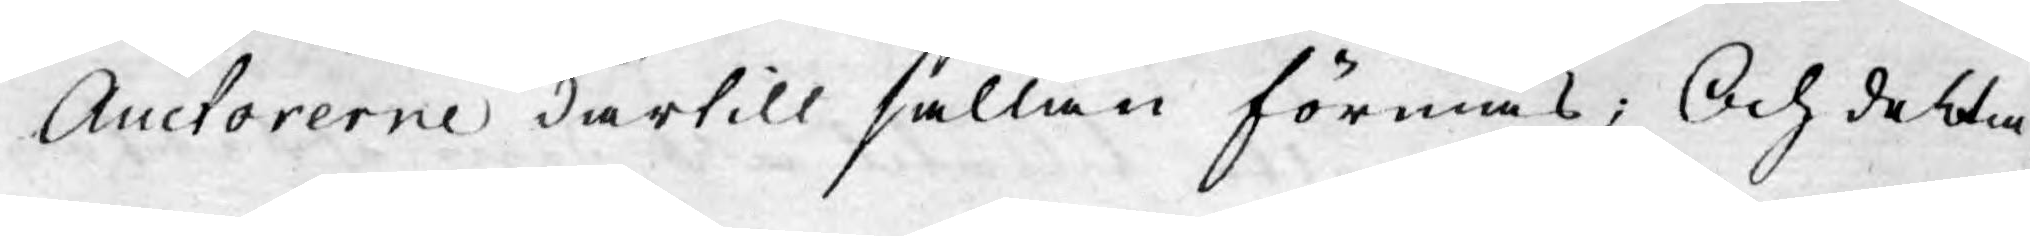Auctorerne därtill sällan förmås; Och detta
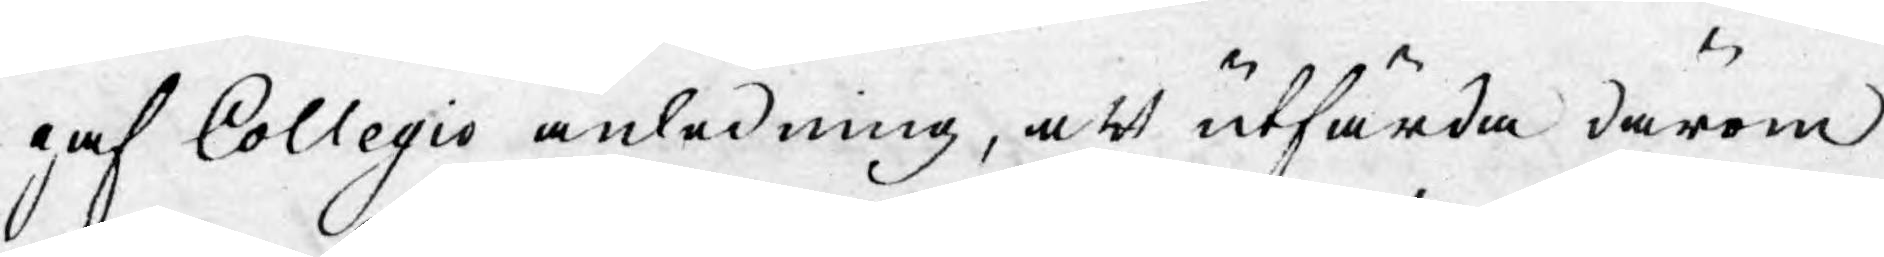gaf Collegio anledning, att utfärda därom
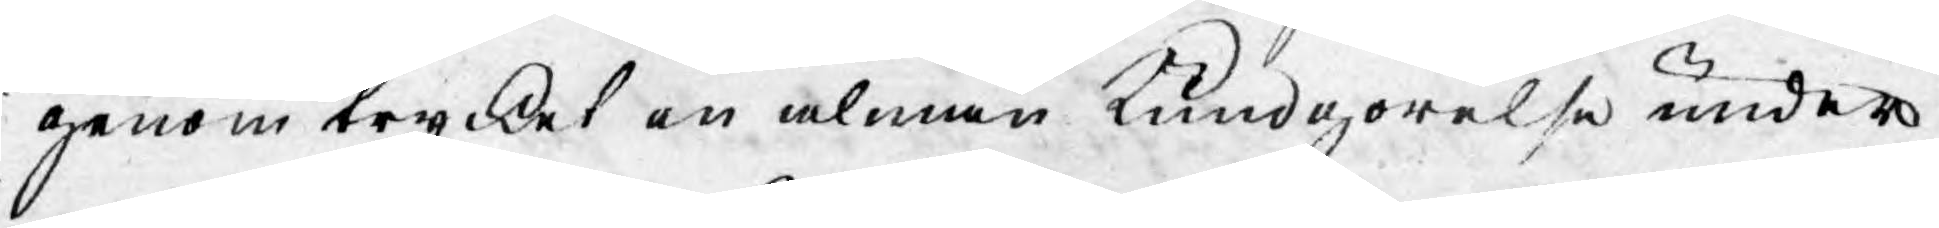genom trycket en almänn Kundgörelse under
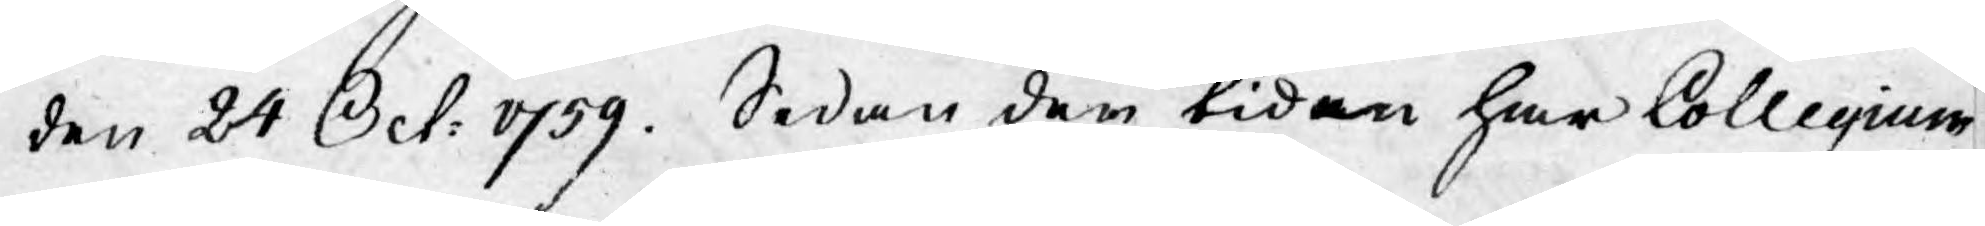den 24 Oct: 1759. Sedan den tiden har Collegium
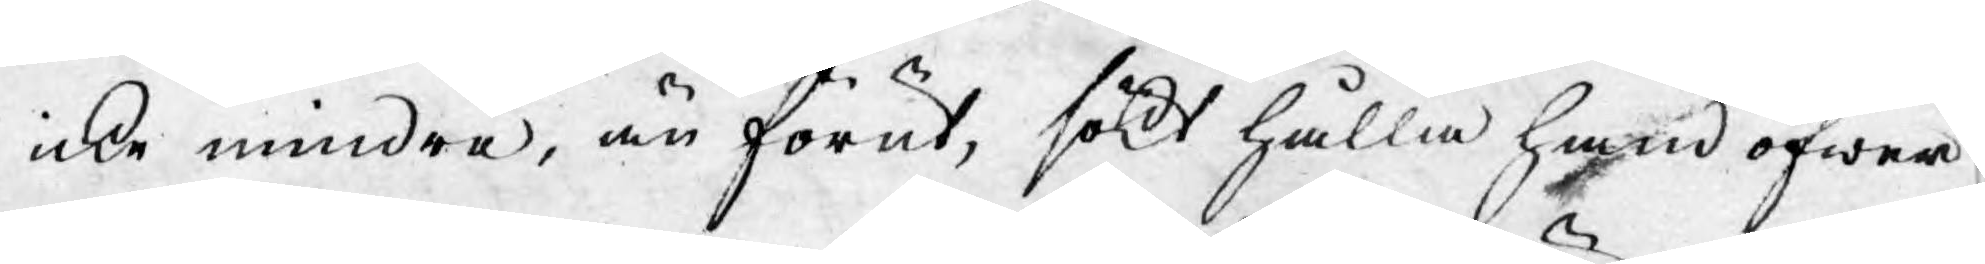icke mindre, än förut, sökt hålla hand öfwer
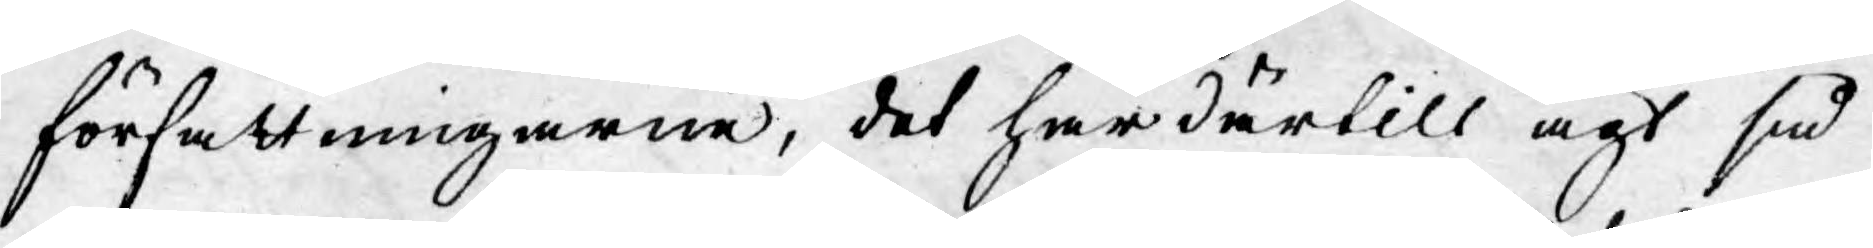författningarne, det har därtill ägt så
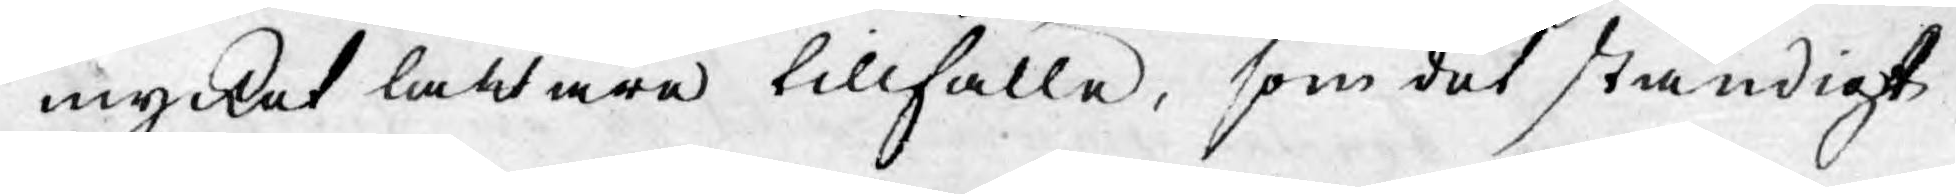mycket lättare tillfälle, som det ständigt
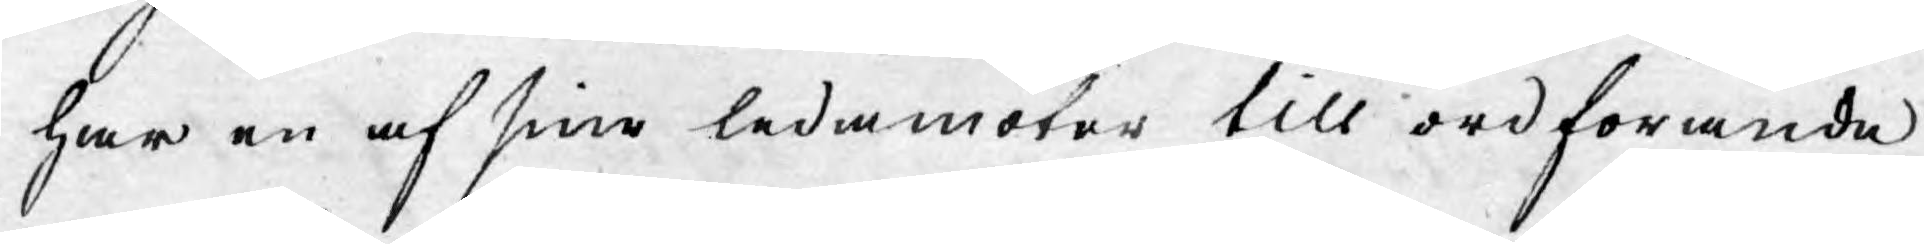har en af sine ledamöter till ordförande
